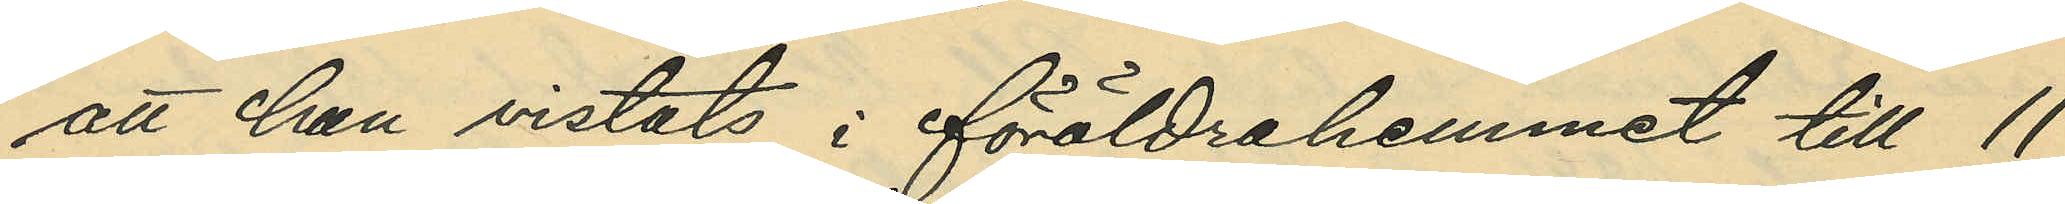att han vistats i föräldrahemmet till 11
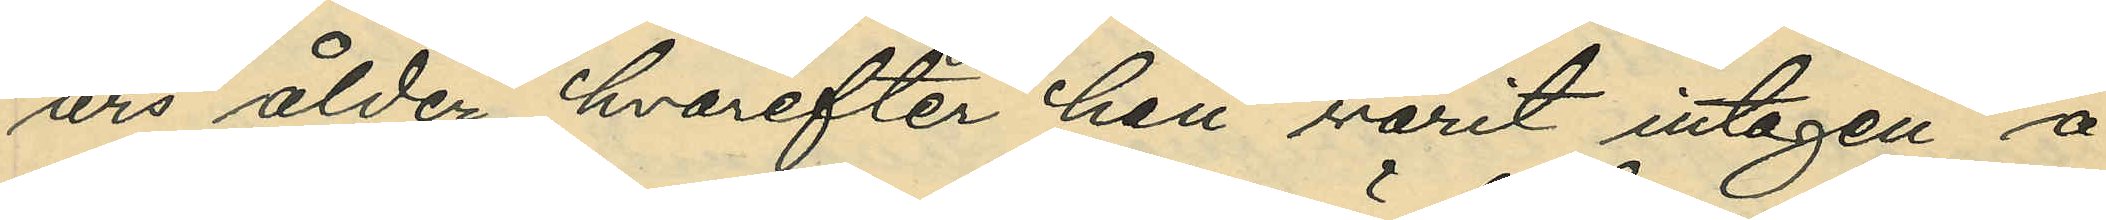års ålder hvarefter han varit intagen å
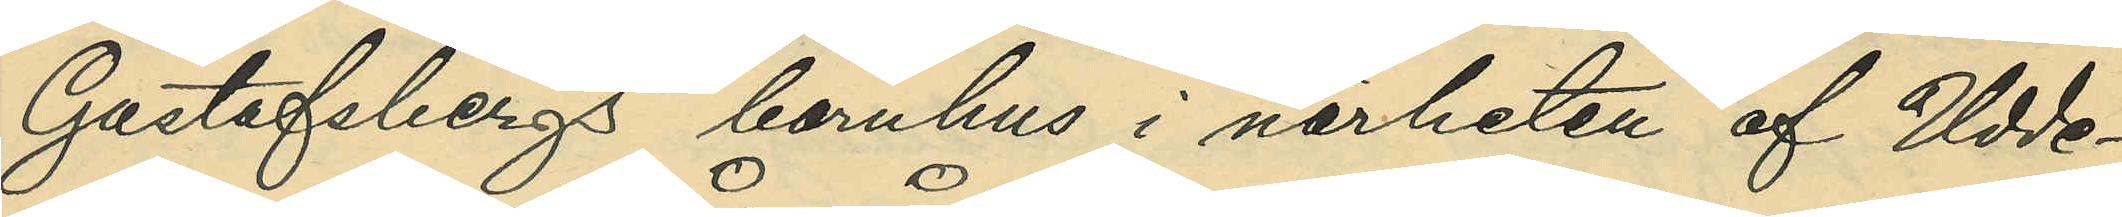Gustafsbergs barnhus i närheten af Udde¬
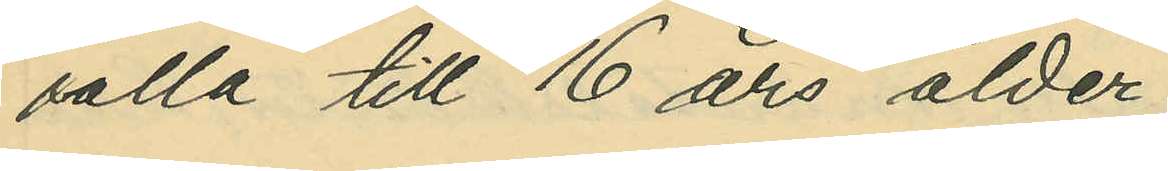valla till 16 års ålder;
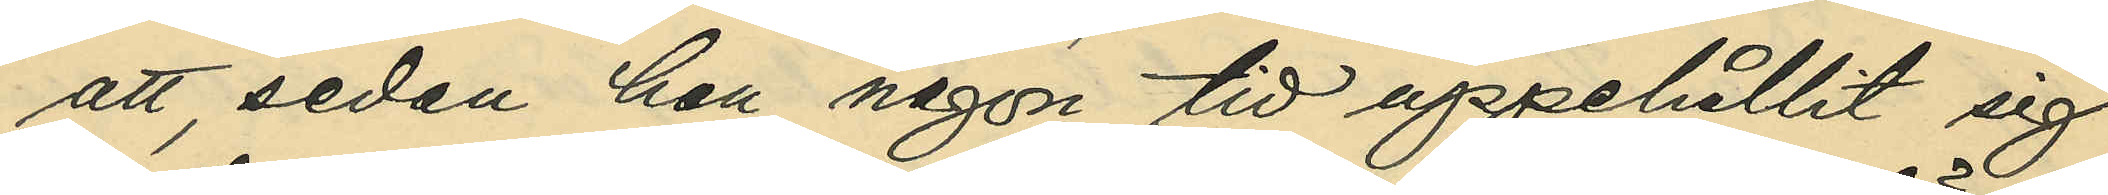att, sedan han någon tid uppehållit sig
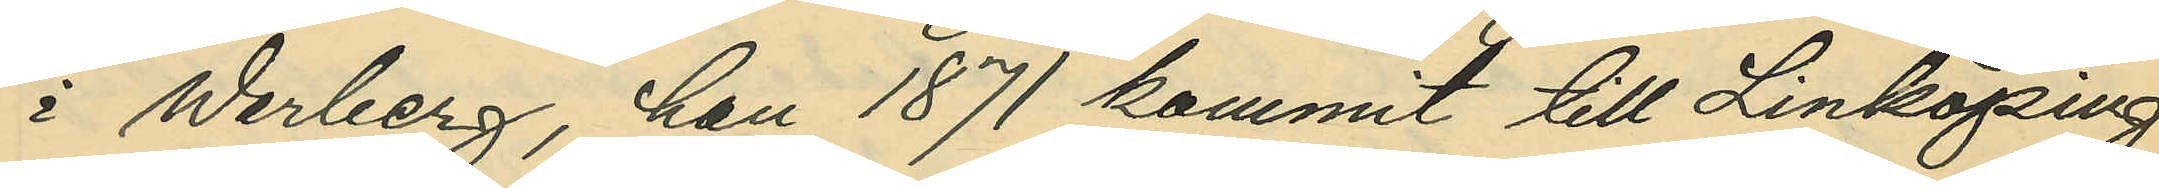i Warberg, han 1871 kommit till Linköping
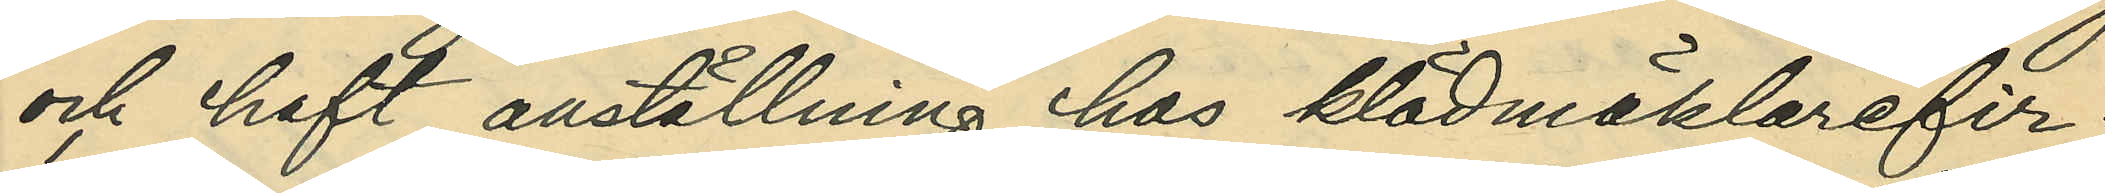och haft anställning hos klädmäklarefir¬
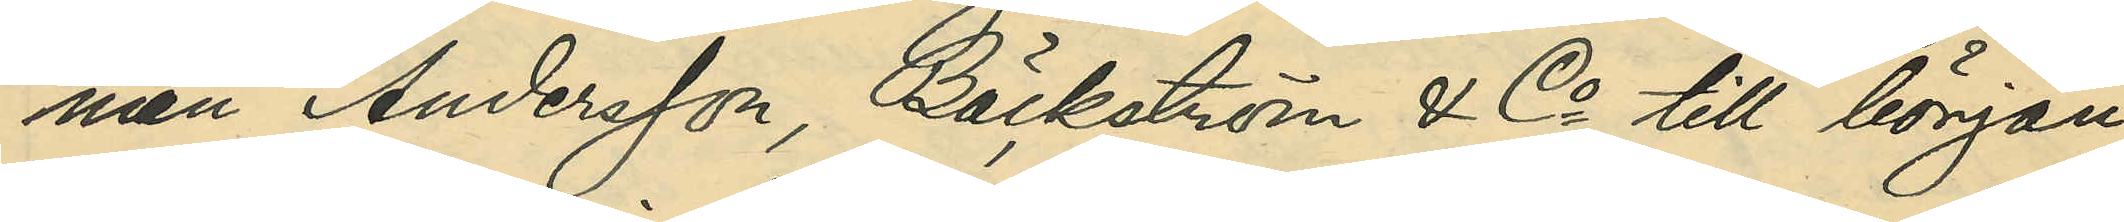man Andersson, Bäckström & Co till början
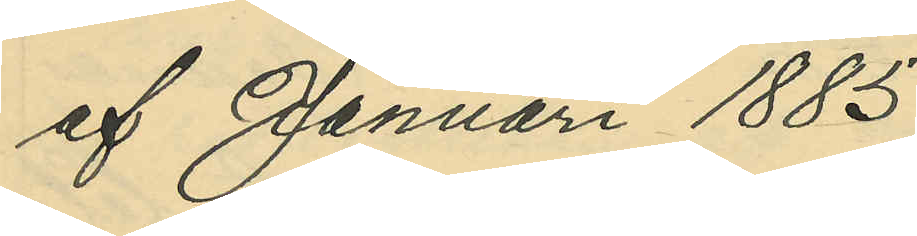af Januari 1885;
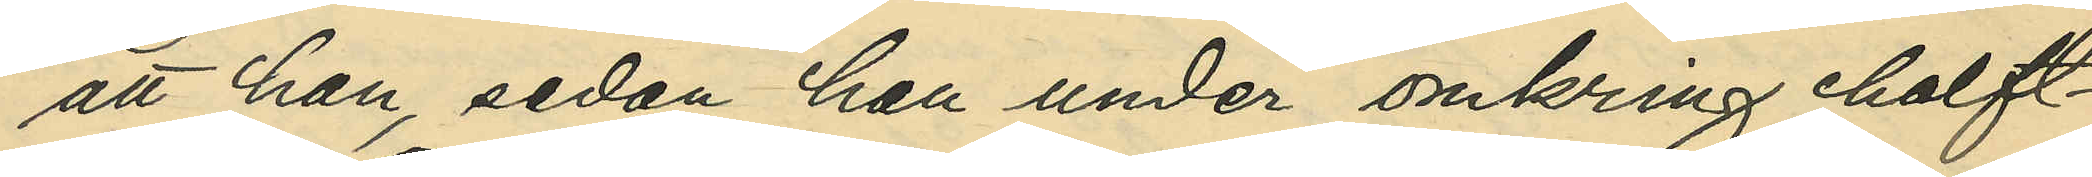att han, sedan han under omkring halft¬
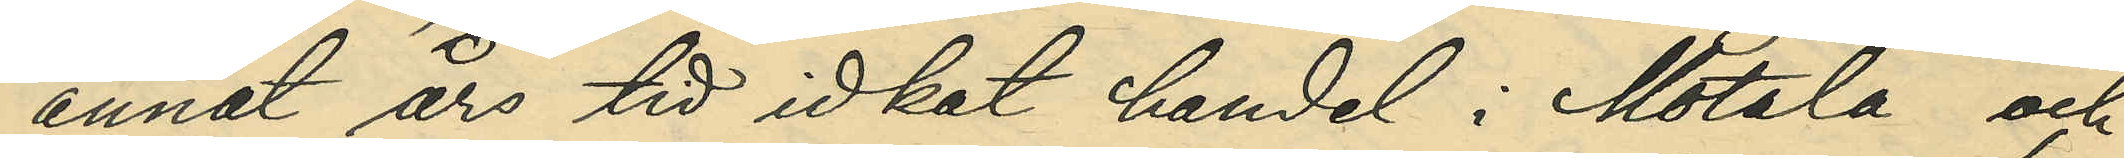annat års tid idkat handel i Motala och
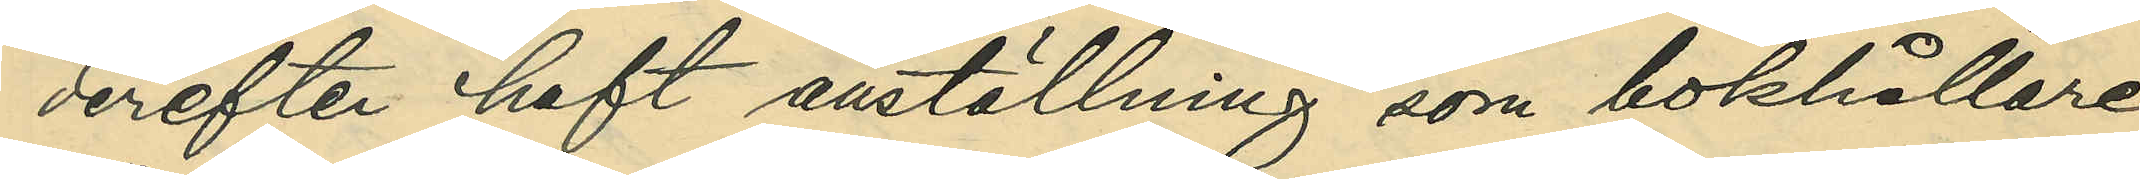derefter haft anställning som bokhållare
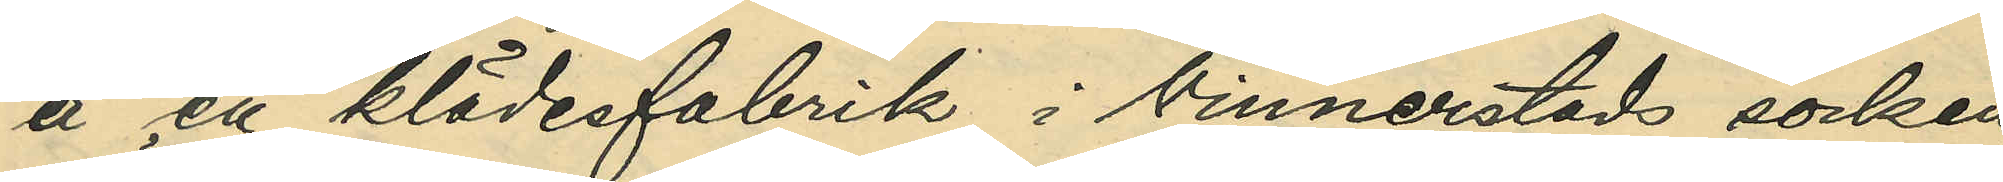å en klädesfabrik i Vinnerstads socken,
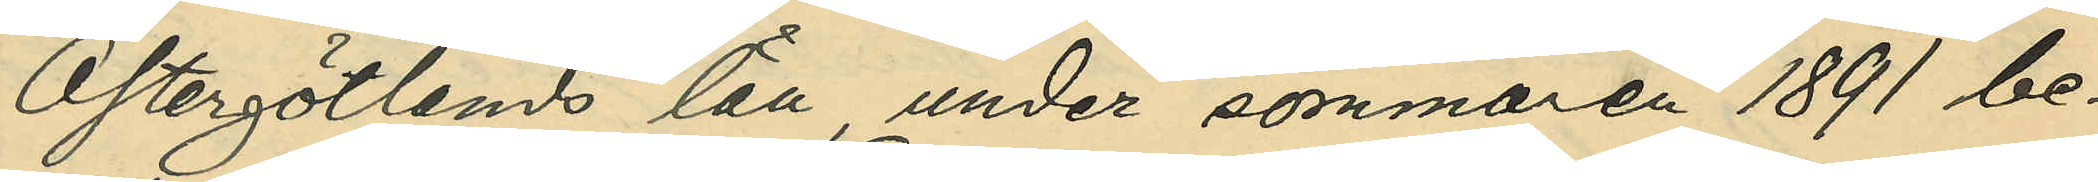Östergötlands län, under sommaren 1891 be¬
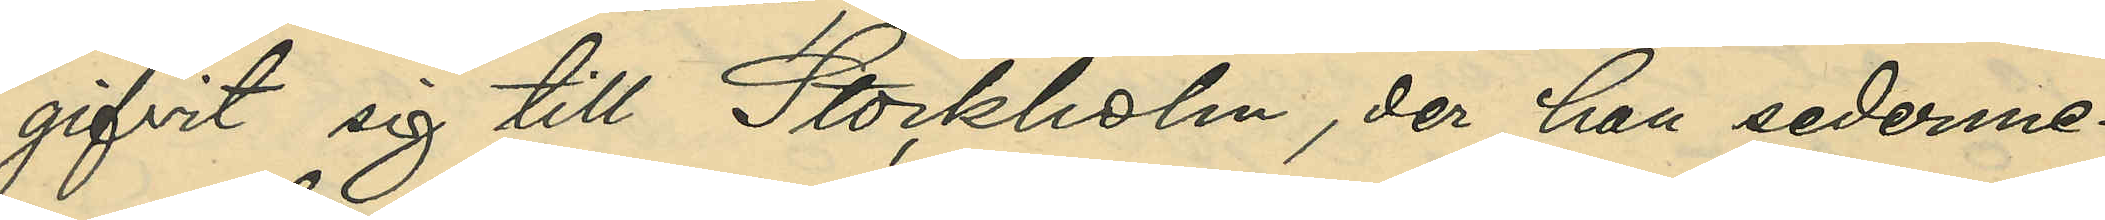gifvit sig till Stockholm, der han sederme¬
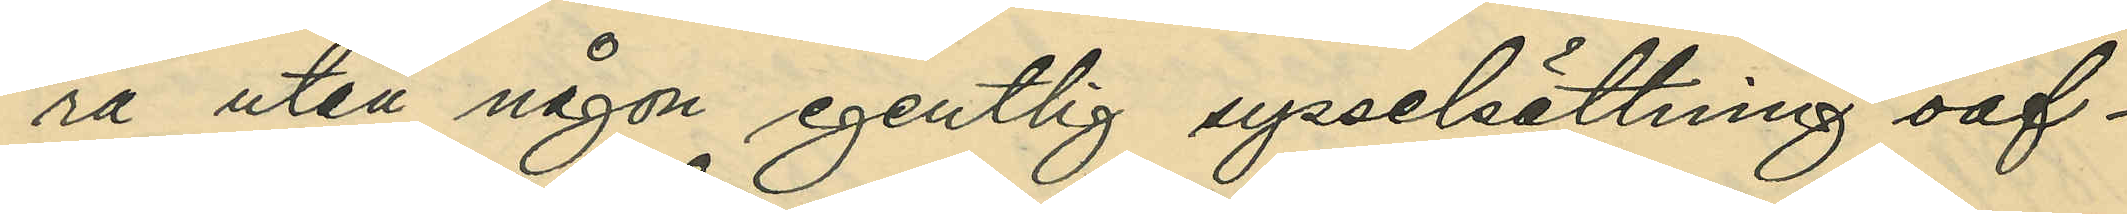ra utan någon egentlig sysselsättning oaf¬
